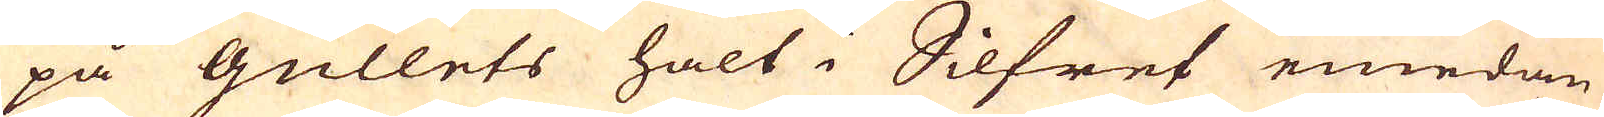på gullets halt i Silfret emedan
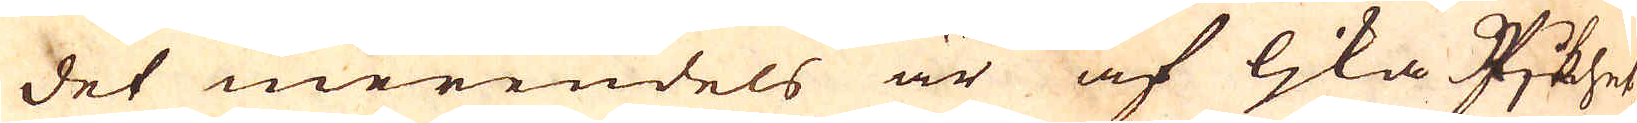det merendels är af lika Rjkhet,
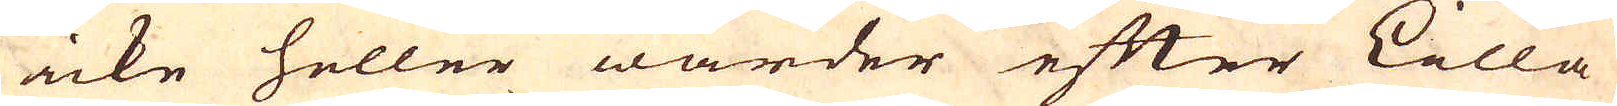icke heller warder efter Lilla
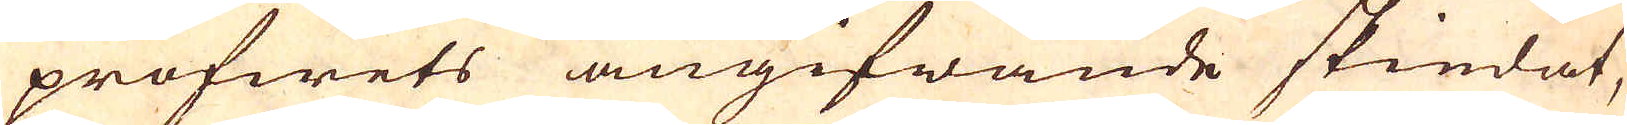profwets angifwande skiedat,
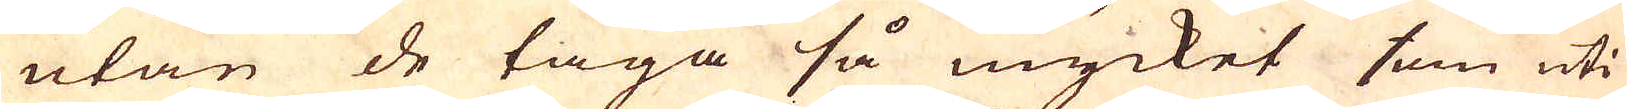utan de taga så mycket som uti
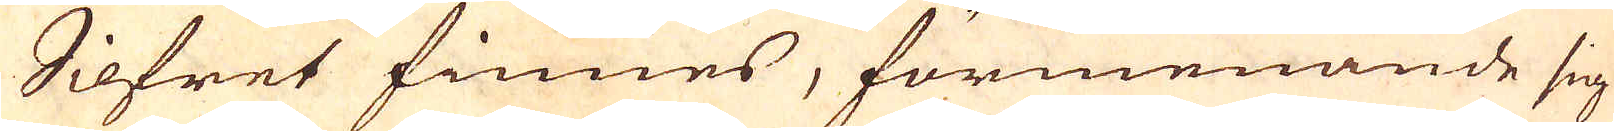Silfret finnes, förmenande sig
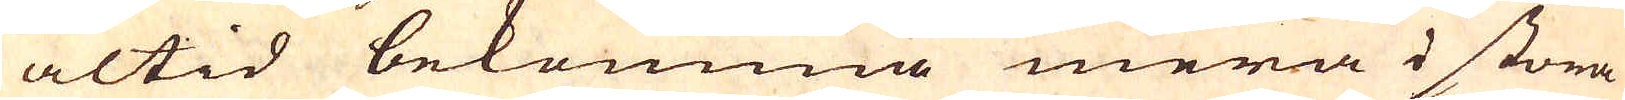altid bekomma mera i stora
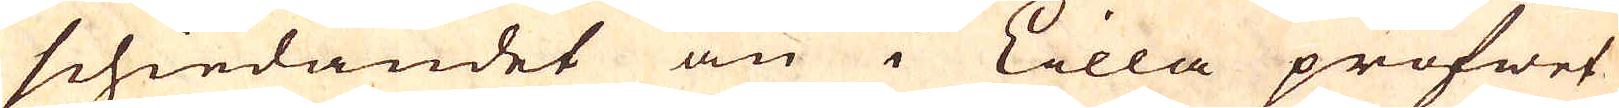schiedandet än i Lilla profwet
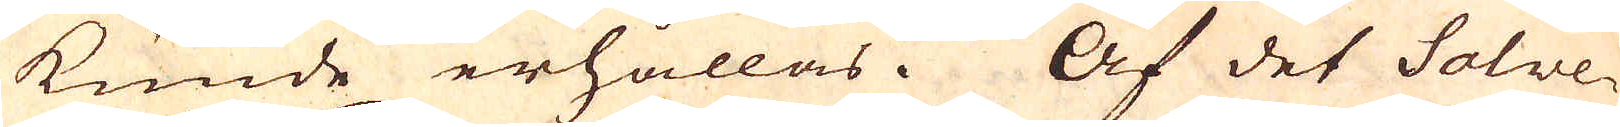kunde erhållas. Af det Solve-
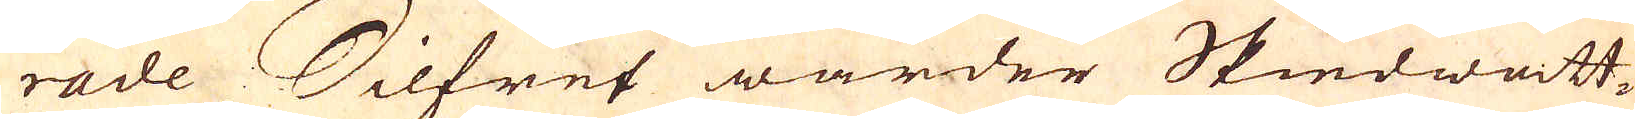rade Silfret warder Skiedwatt-
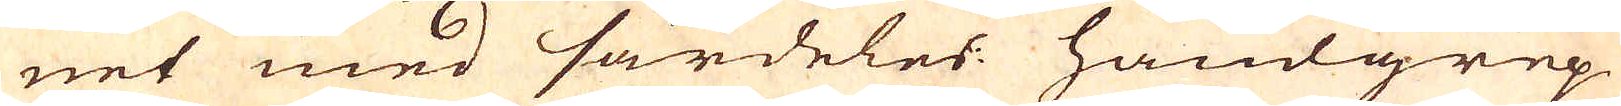net med särdeles handgrep
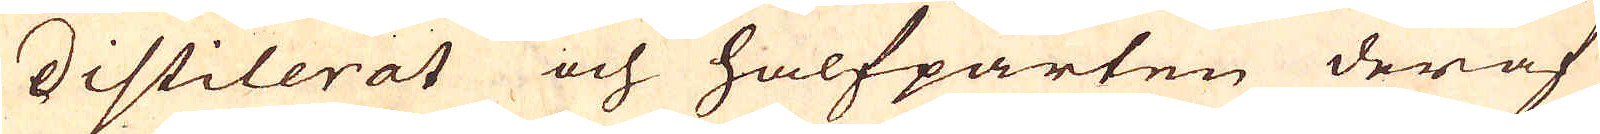distilerat och halfparten deraf
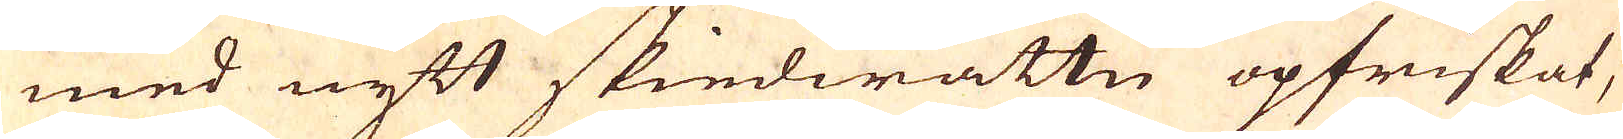med nytt skiedwattn opfriskat,
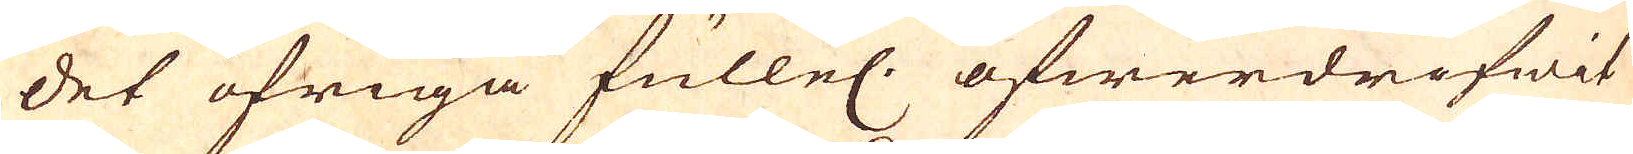det öfriga fullel. öfwerdrifwit
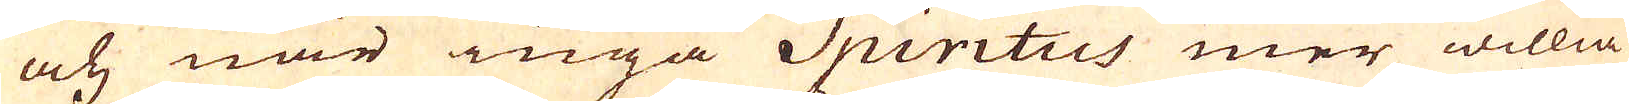och när inga Spiritus mer willia
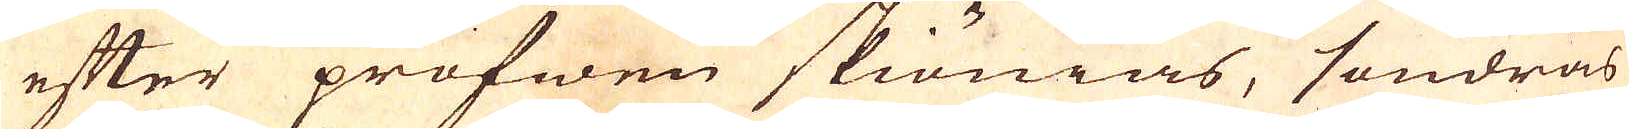efter profwen skiönias, söndras
